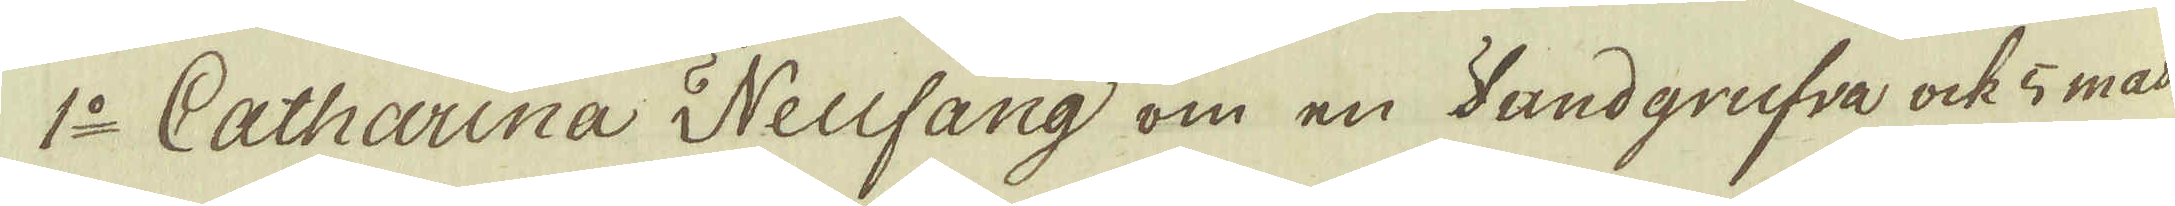1:o Catharina Neufang om en Sandgrufva ock 5 mas
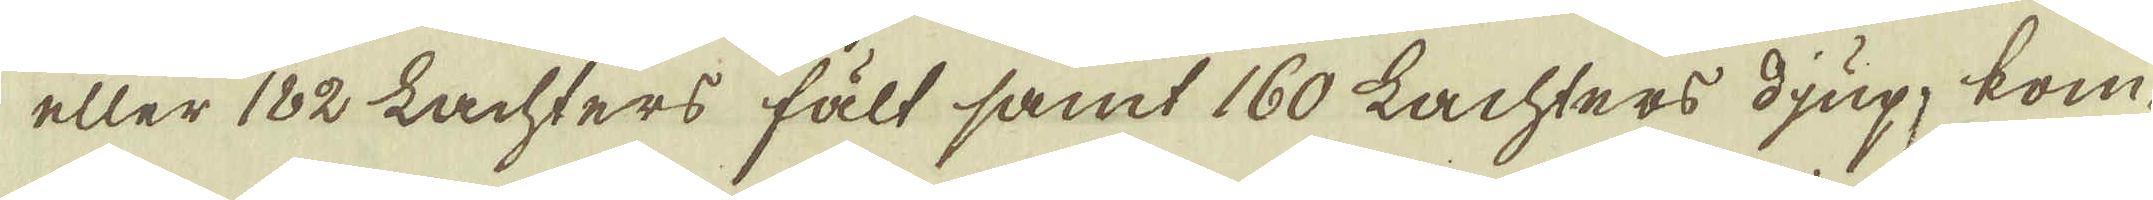eller 182 Lachters fält samt 160 Lachters djup, kom-
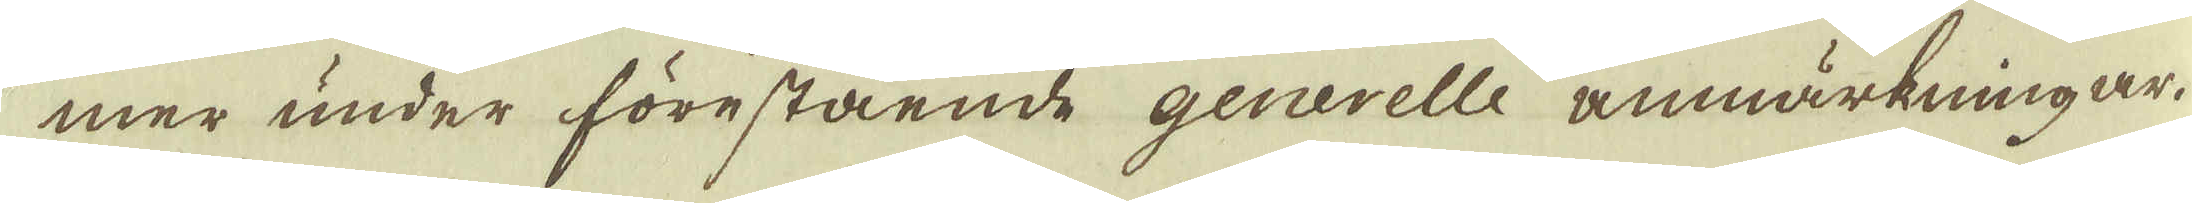mer under förestående generelle anmärkningar.
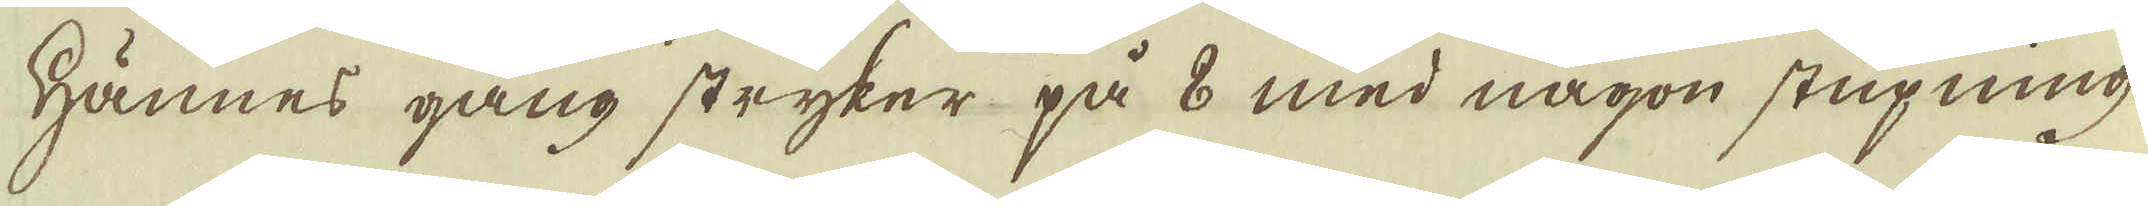Hännes gång stryker på 8 med någon stupning
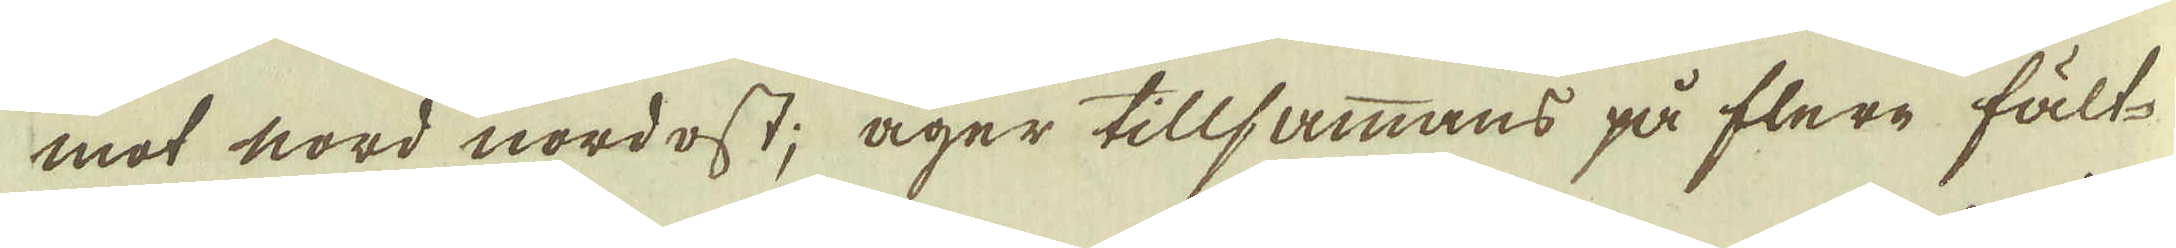mot nord nordost; äger tillsammans på flere fält-
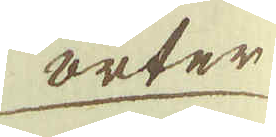orter
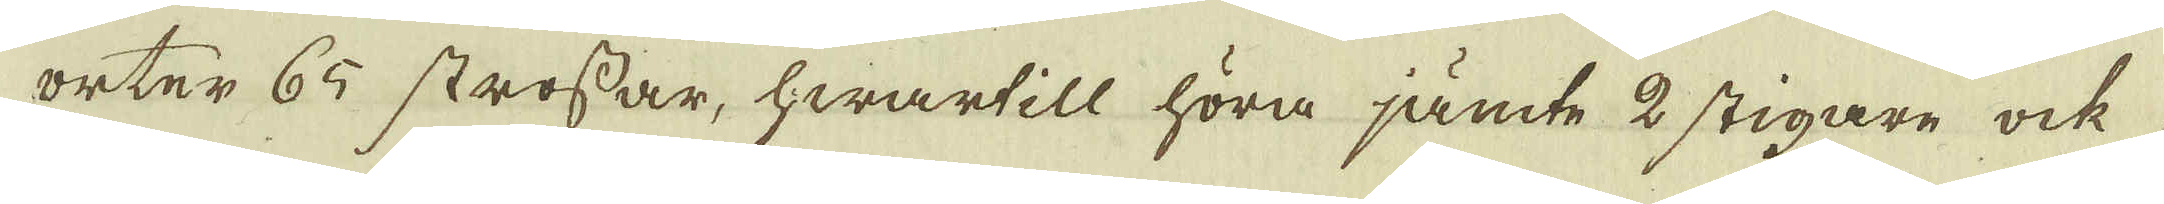orter 65 strossar, hwartill höra jämte 2 stigare ock
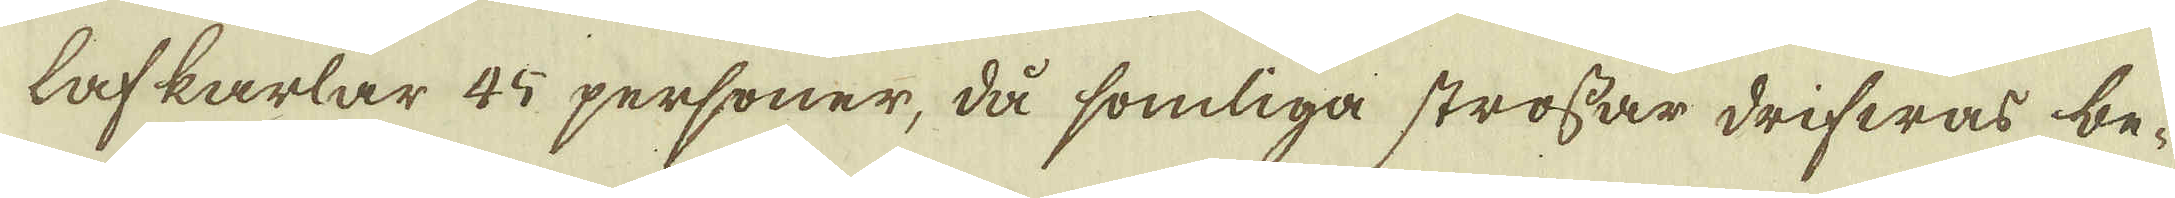lafkarlar 45 personer, då somliga strossar drifwas be-
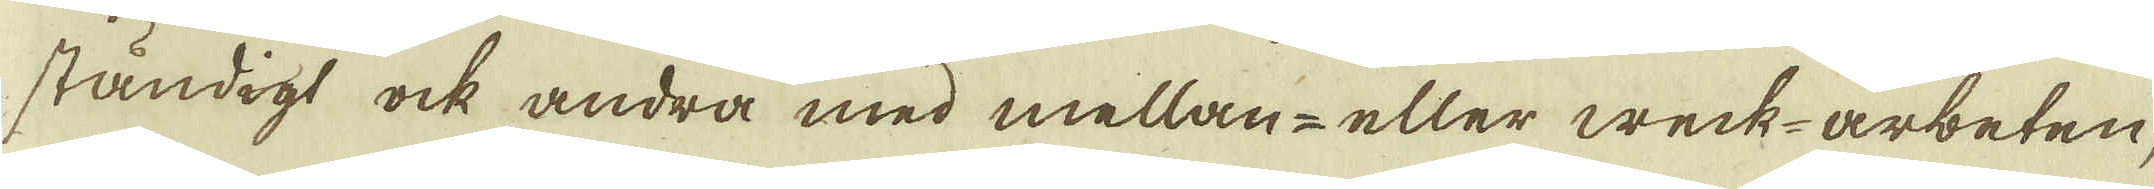ständigt ock andra med mellan- eller weck-arbeten,
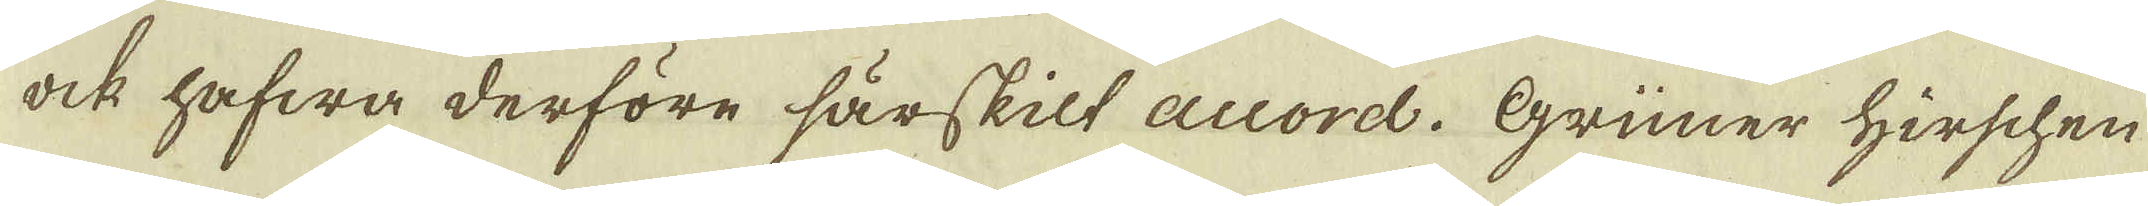ock hafwa derföre särskilt auorel. Grünner Hirschen
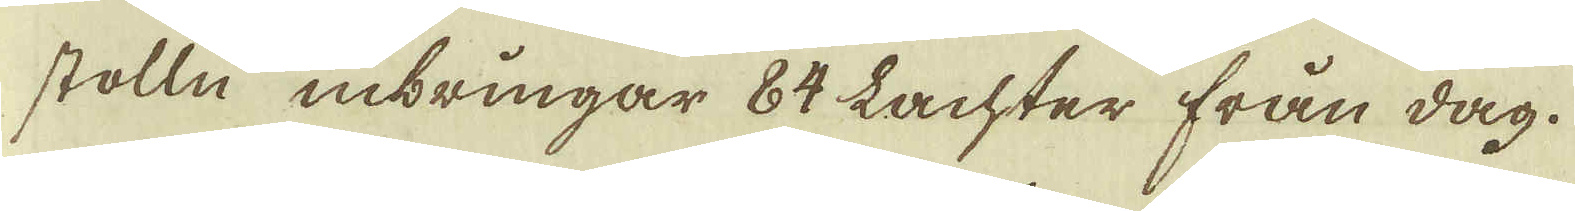stolln inbringar 84 Lachter från dag.
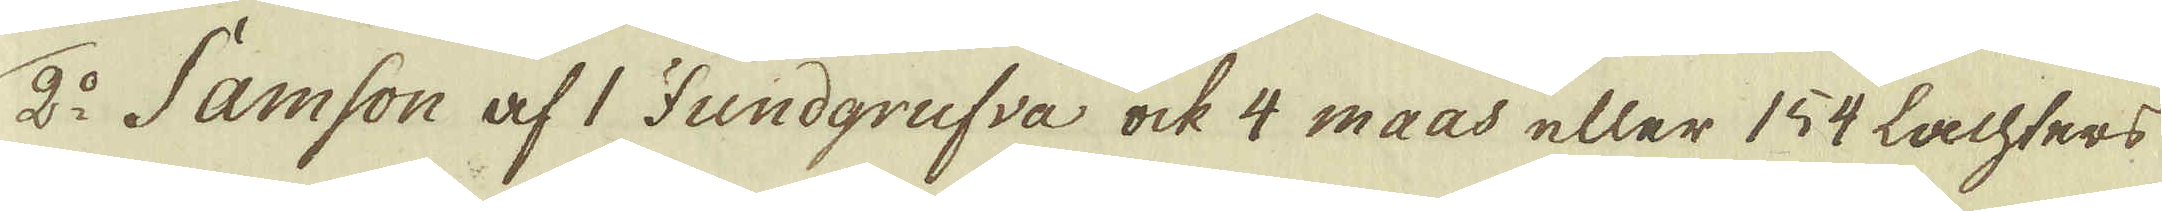2:o Samson af 1 Fundgrufva ock 4 maas eller 154 lachters
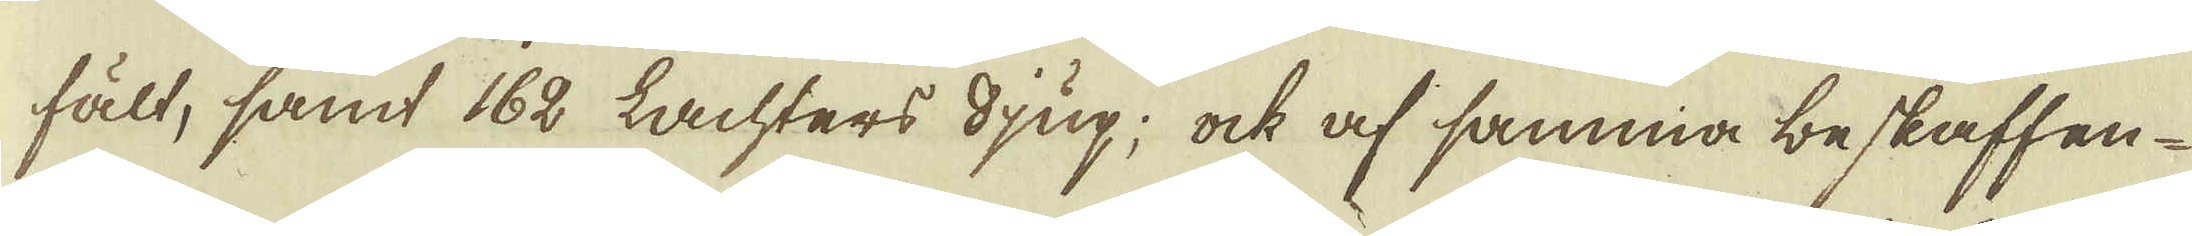fält, samt 162 lachters djup; ock af samma beskaffen-
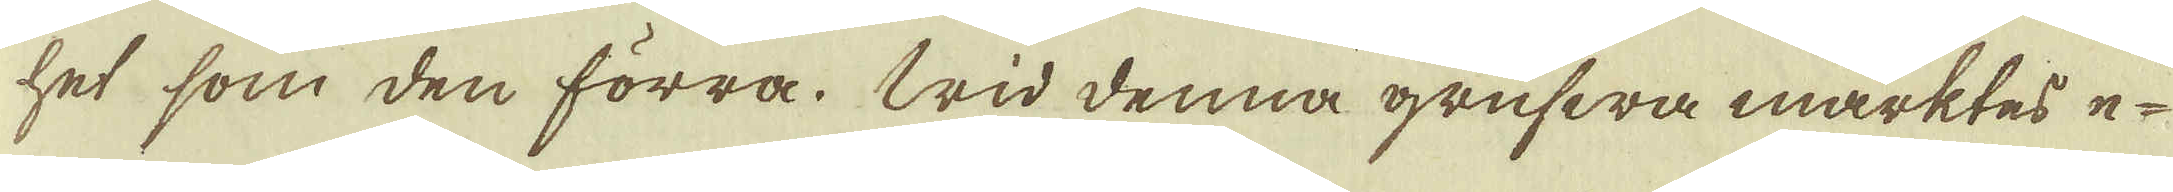het, som den förra. Wid denna grufwa märktes e-
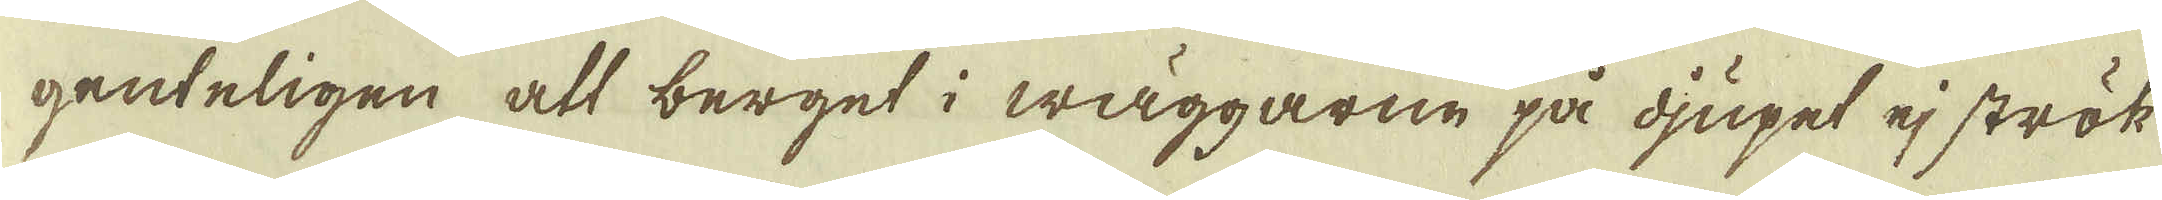genteligen att berget i wäggarne på djupet ej strök
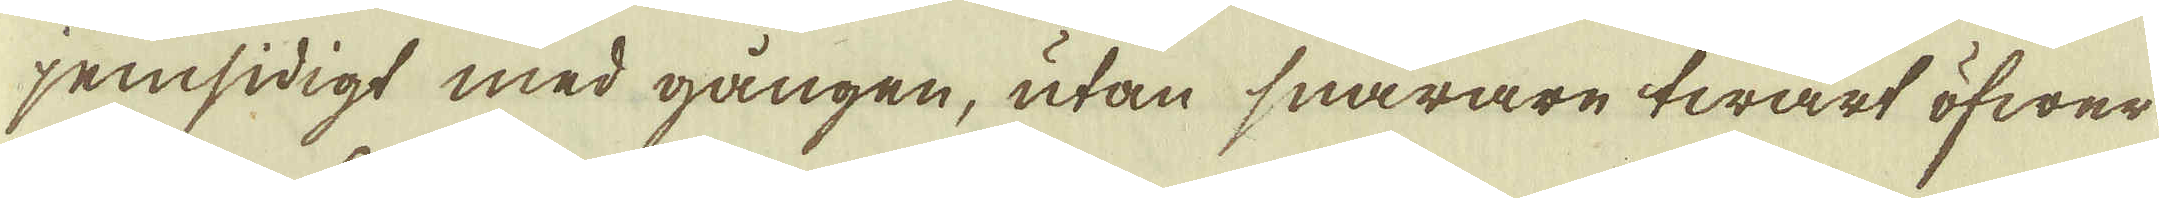jemsidigt med gången, utan snarare twärt öfwer
